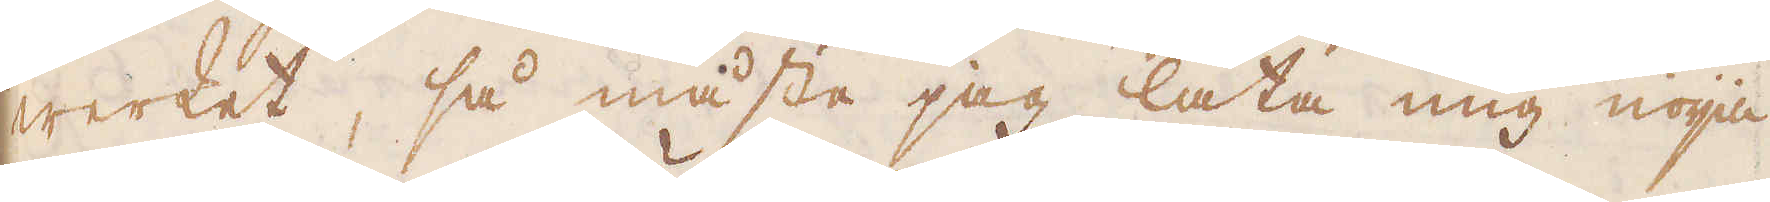werket, så måste jag låta mig nöja
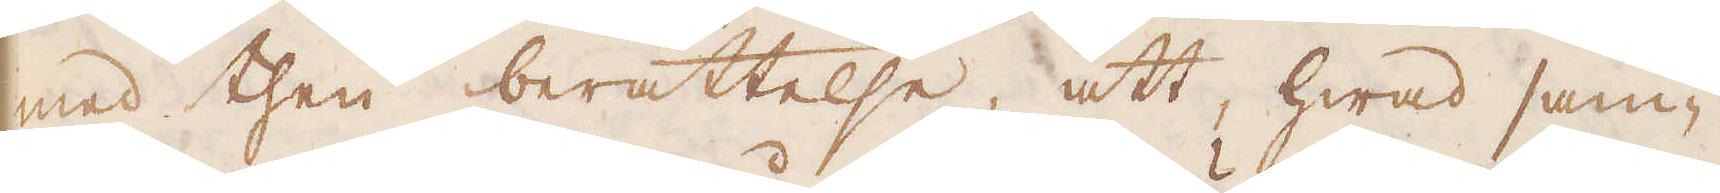med then berättelse, att hwad sam-
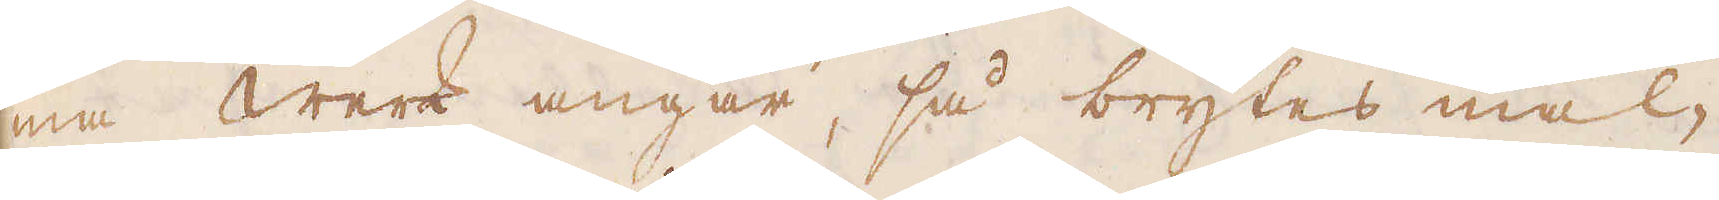ma werk angår, så brytes mal-
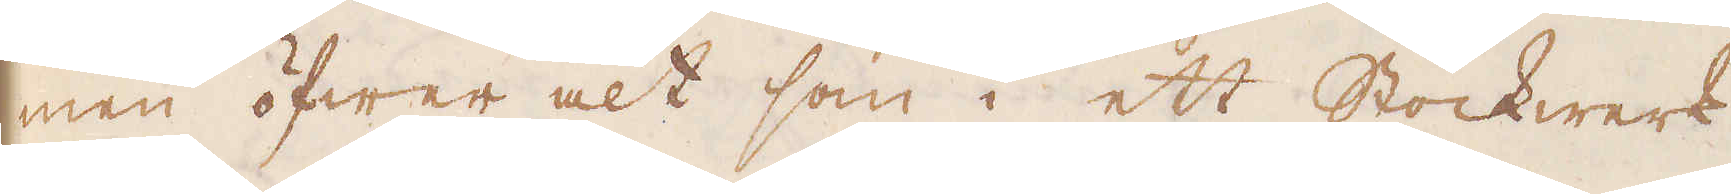men öfwer alt som i ett Stockwerk,
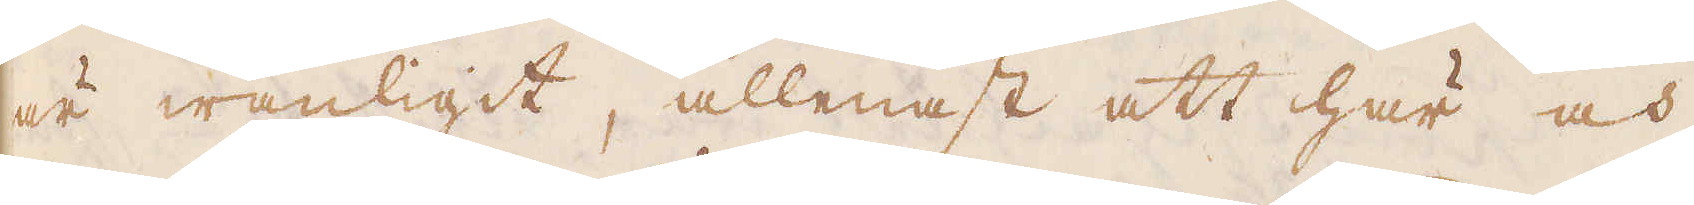är wanligit, allenast att här och
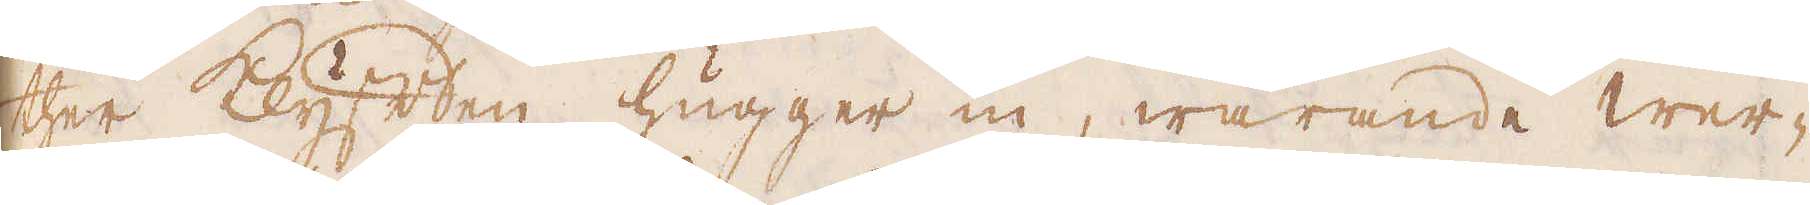ther klyften hugger in, warande wer-
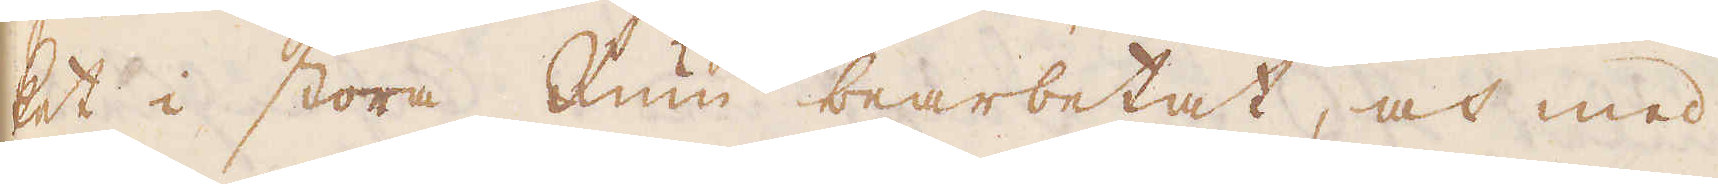ket i stora Rum bearbetat, och med
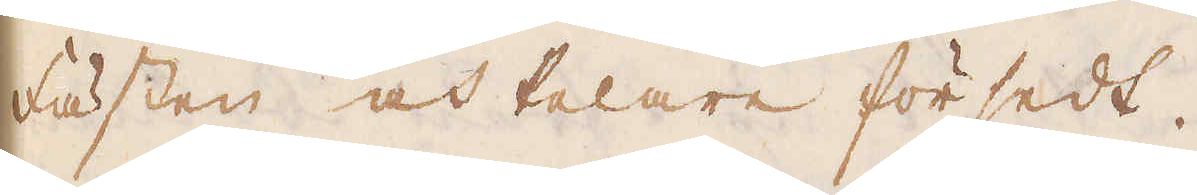Fästen och Pelare försedt.
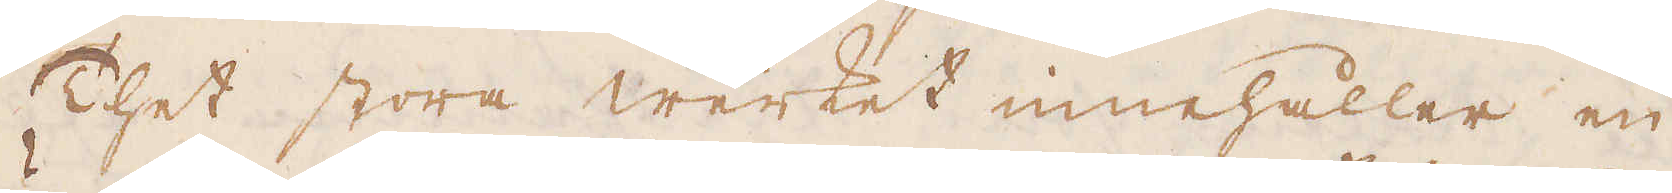Thet stora werket innehåller en
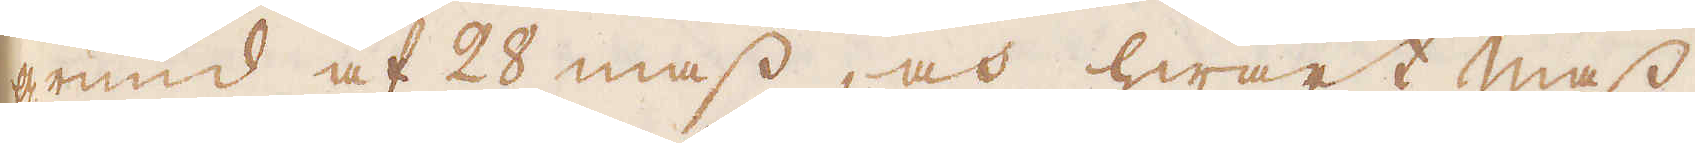grund af 28 mass, och hwart mass
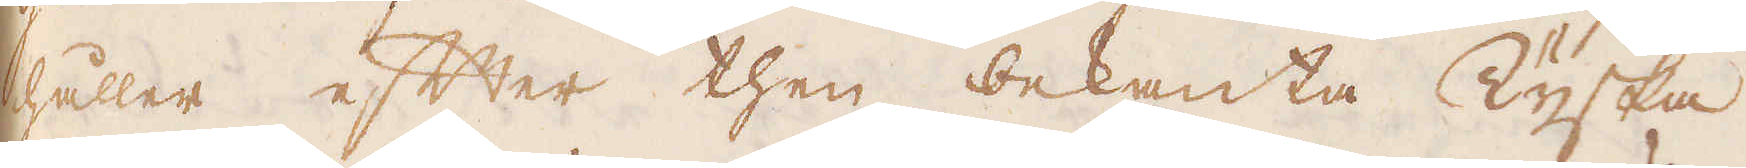håller efter then bekanta Tyska
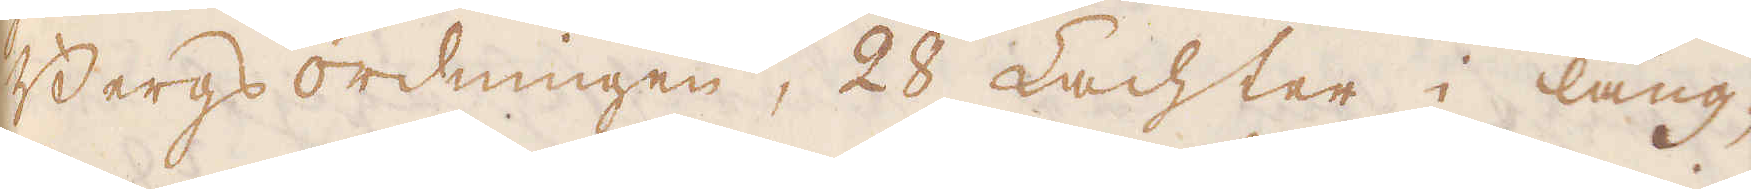Bergsordningen, 28 Lachter i läng-
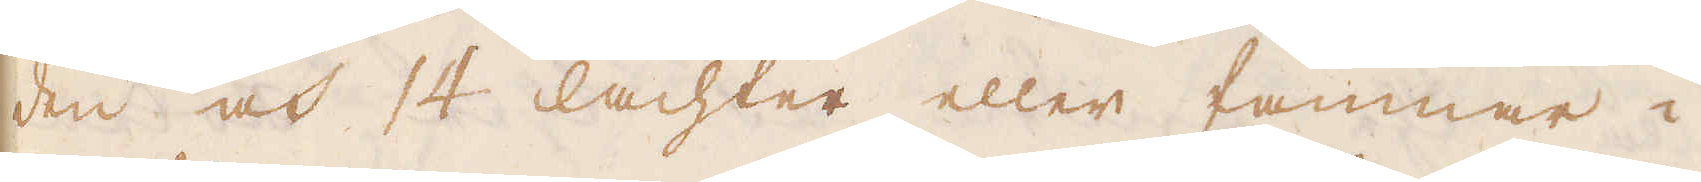den och 14 lachter eller famnar i
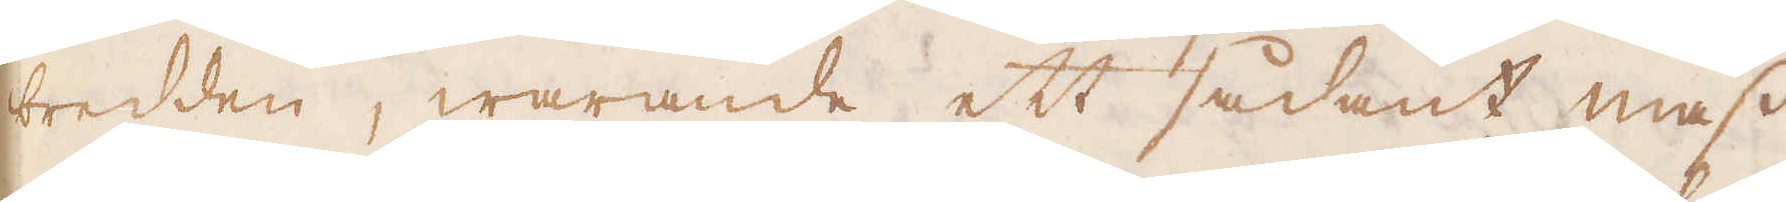bredden, warande ett sådant mass
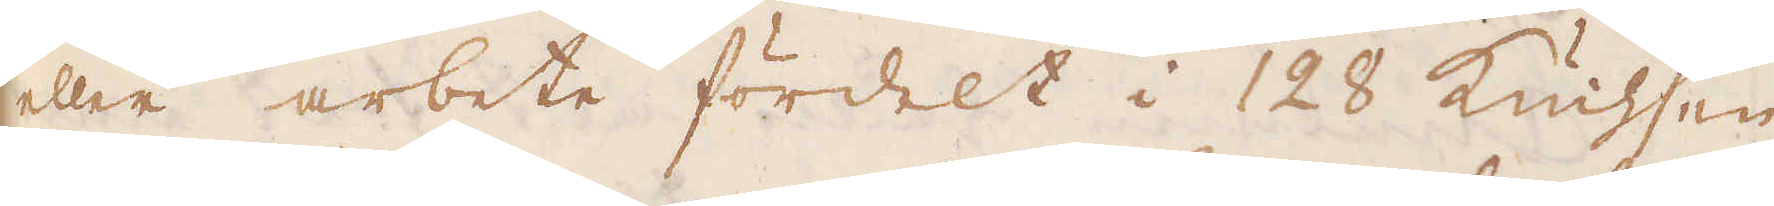eller arbete fördelt i 128 Kuhsen
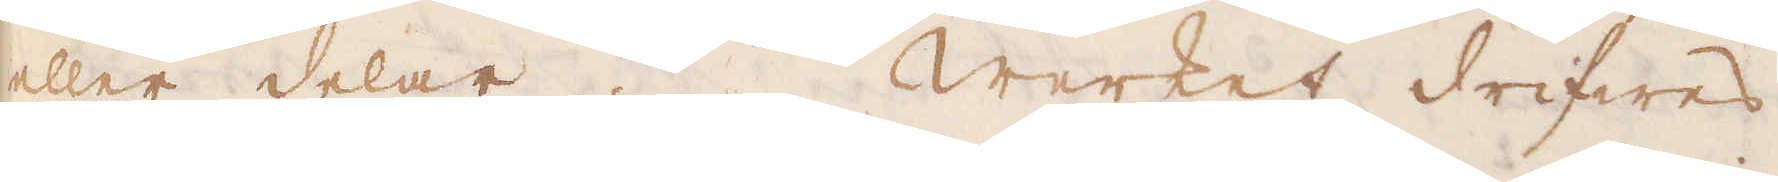eller delar. Werket drifwes.
